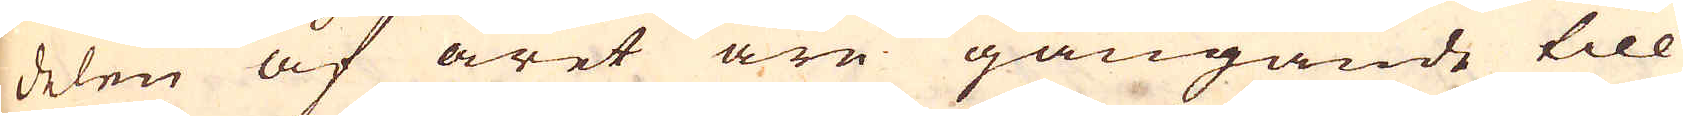delen af året äre gångande till
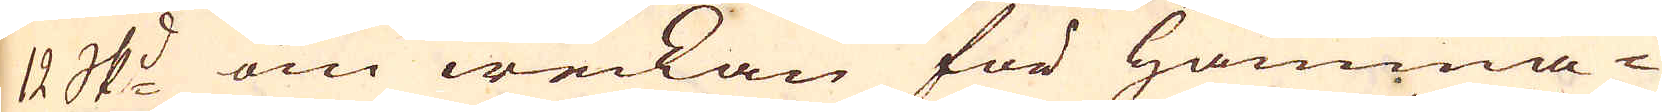12 skeppund om weckan för hamma-
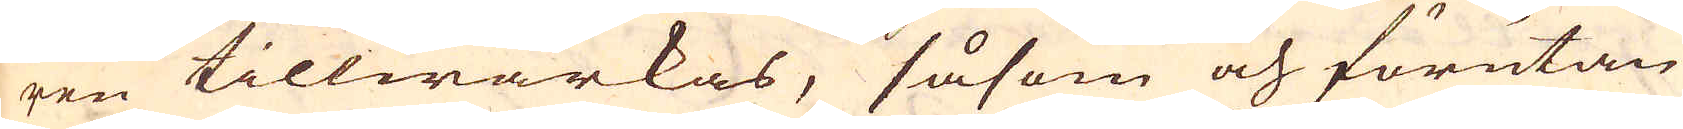ren tillwärkas, såsom och förutan
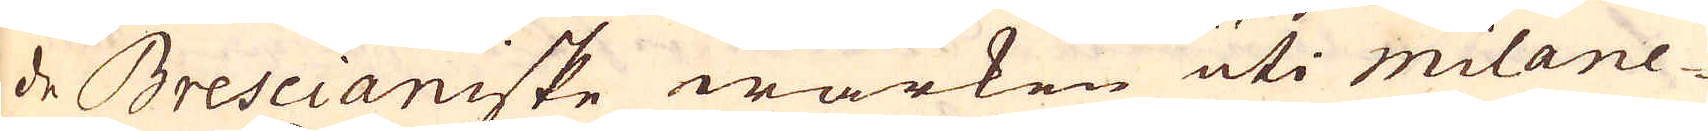de Brescianiske wärken uti milane-
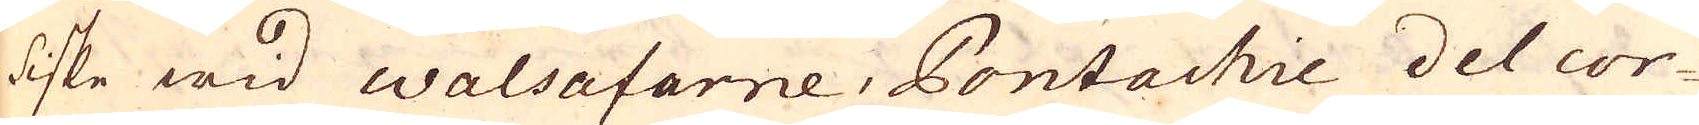diske wid Walsafarne, Pontachie del cor-
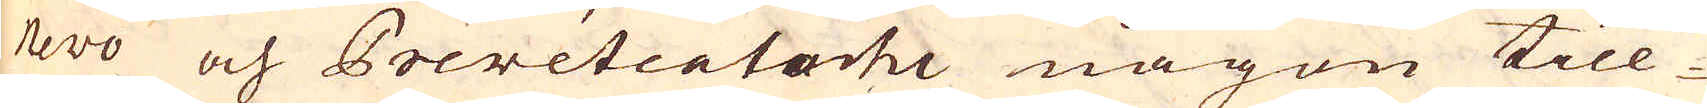nevo och Prevetcatorhi någon till-
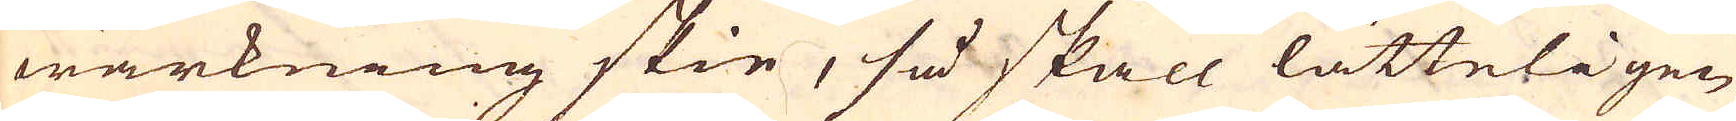wärkning skie, så skall lätteligen
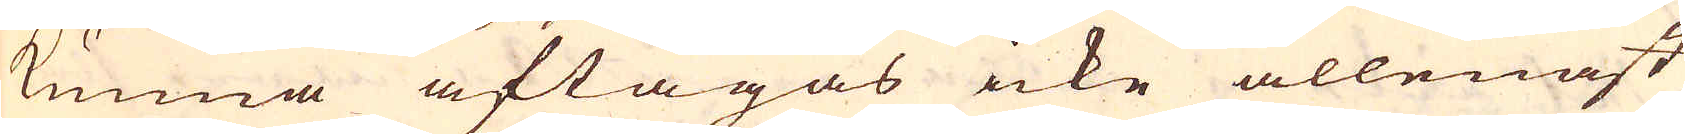kunna aftagas icke allenast
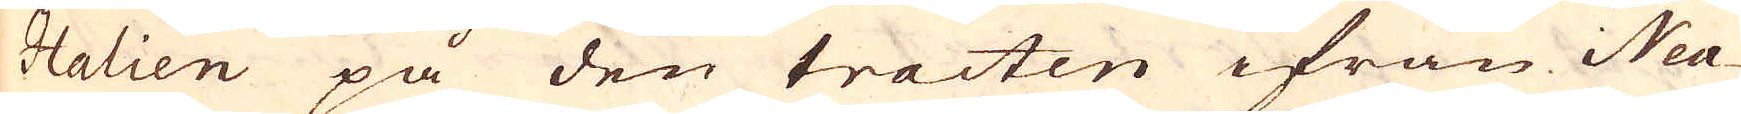Italien på den tracten ifrån Nea-
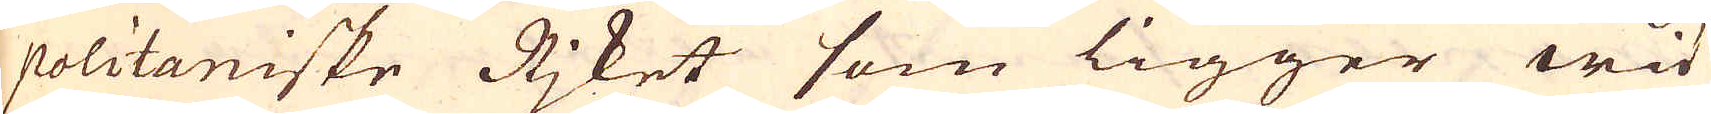politaniske Rjket som ligger wid
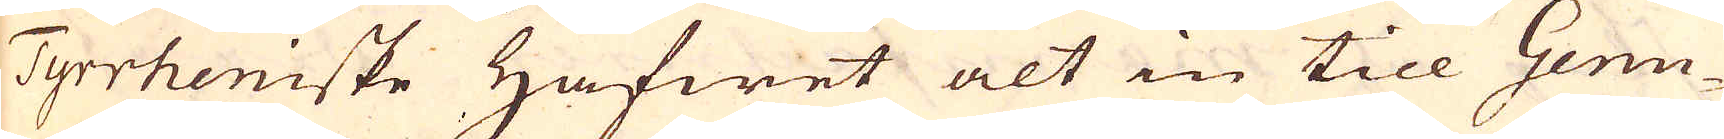Tyrrheniske Hafwet alt in till Genu-
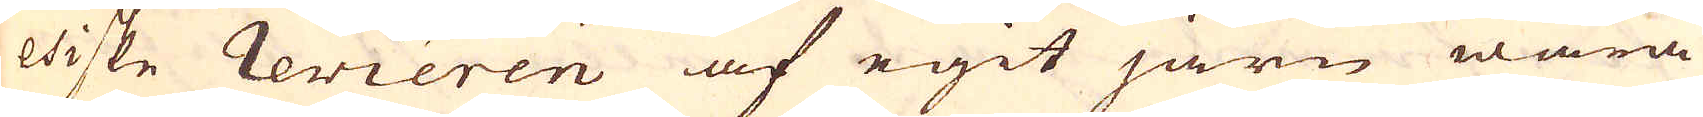esiske revieren af egit järn wara
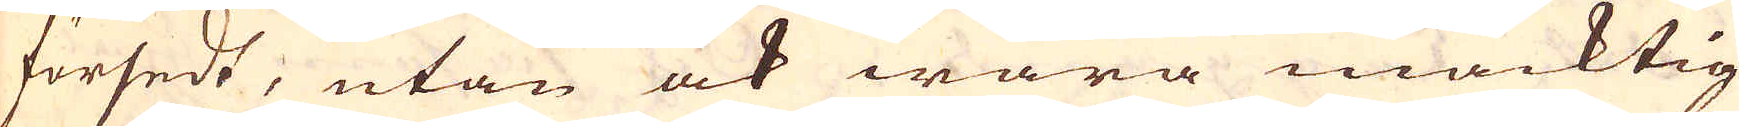försedt, utan ock wara mäcktig
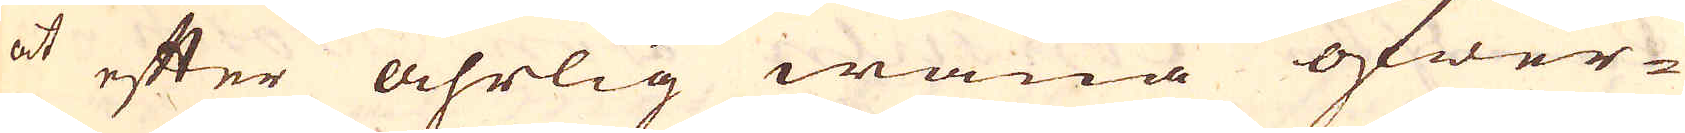at efter åhrlig wana öfwer-
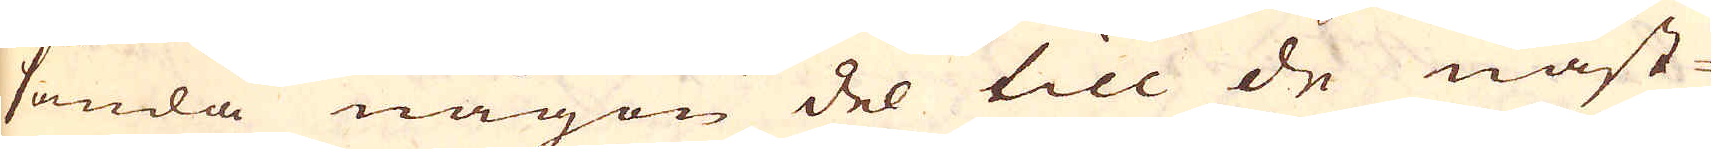sända någon del till de näst-
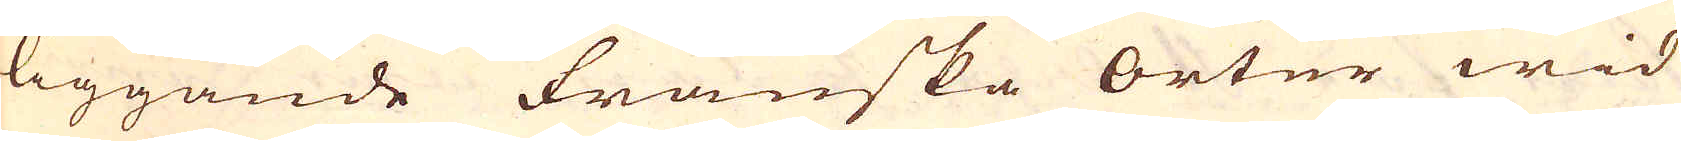liggande Franska orter wid
